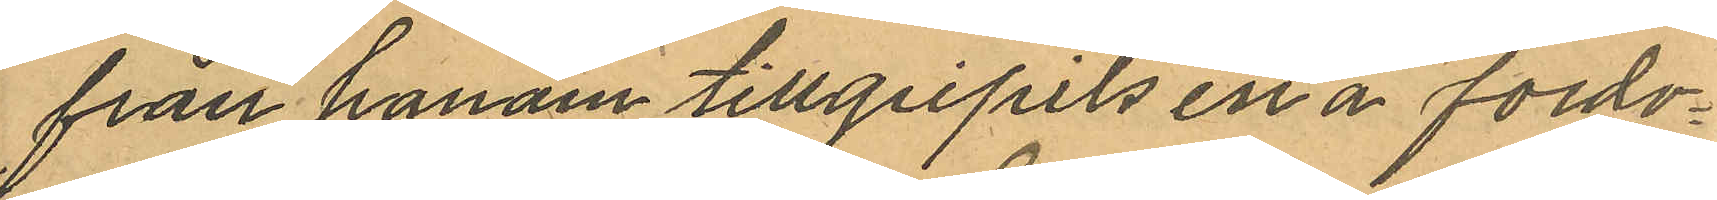från honom tillgripits en å fordo¬
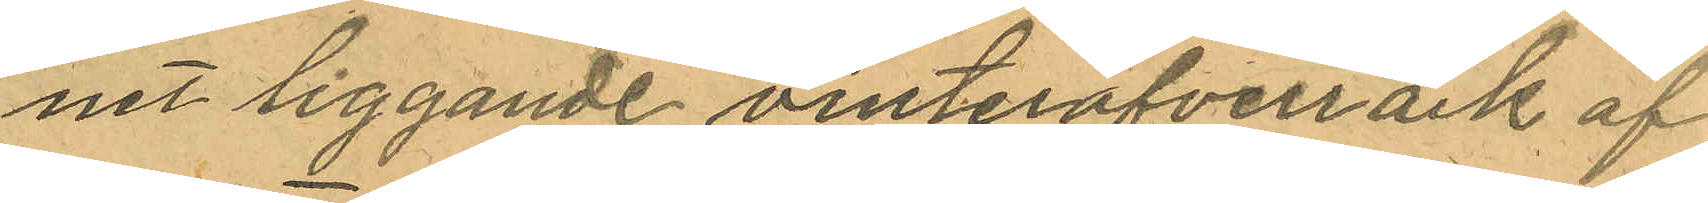net liggande vinteröfverrock af
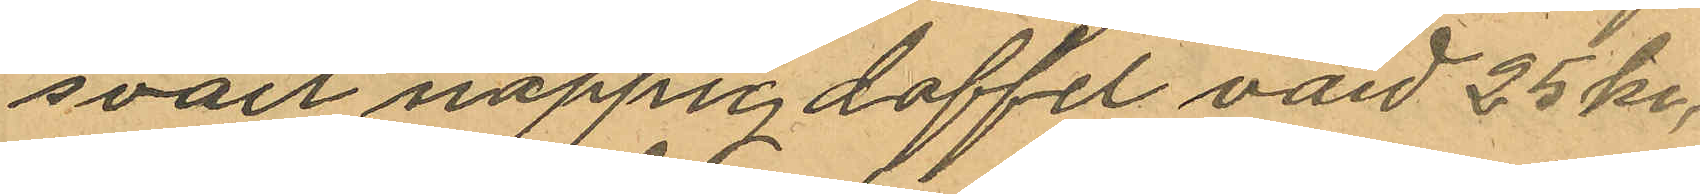svart noppig doffel värd 25 kr,
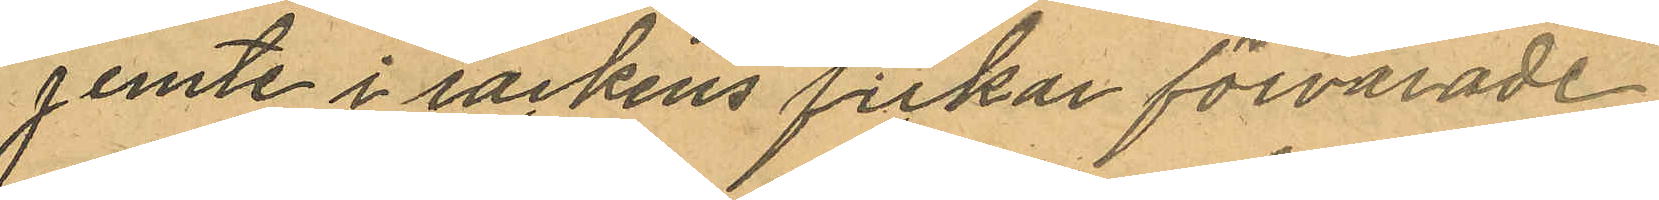jemte i rockens fickor förvarade
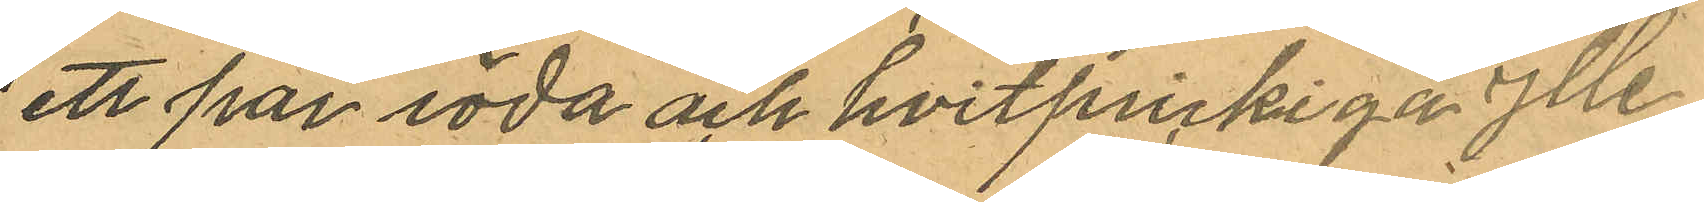ett par röda och hvitprickiga ylle¬
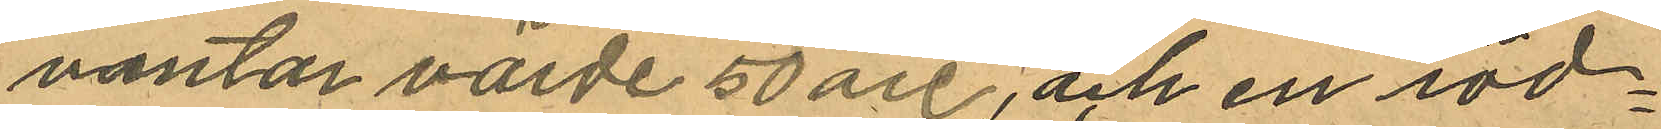vantar värde 50 öre, och en röd¬
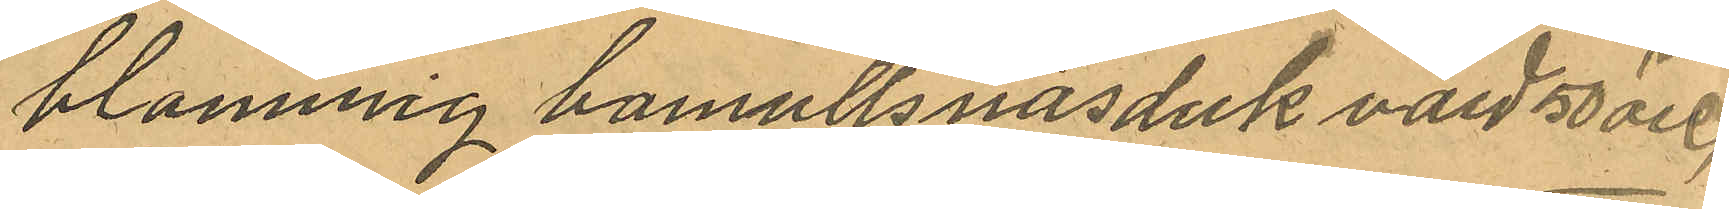blommig bomullsnäsduk värd 50 öre,
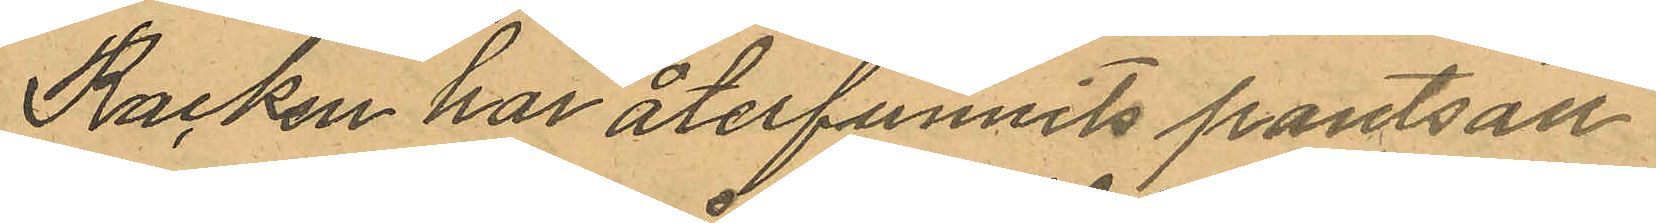Rocken har återfunnits pantsatt
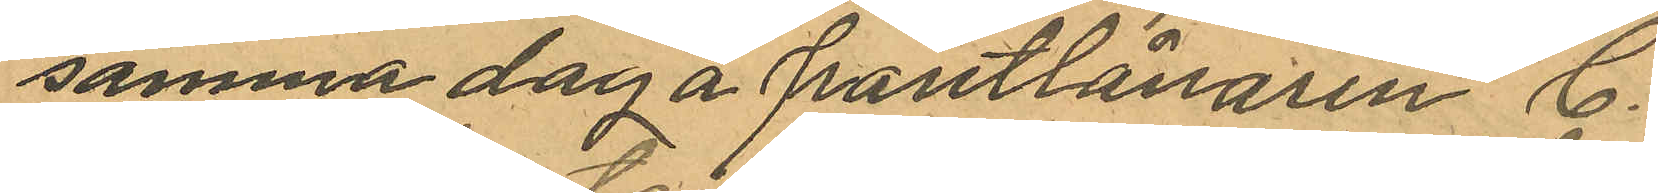samma dag å pantlånaren C.
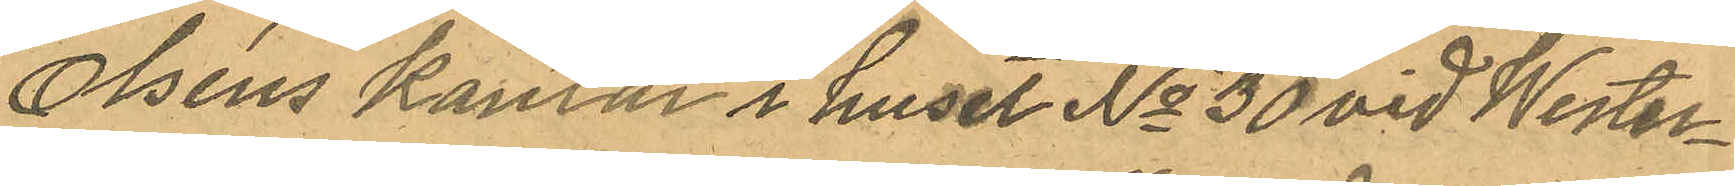Olséns kontor i huset No 30 vid Wester¬
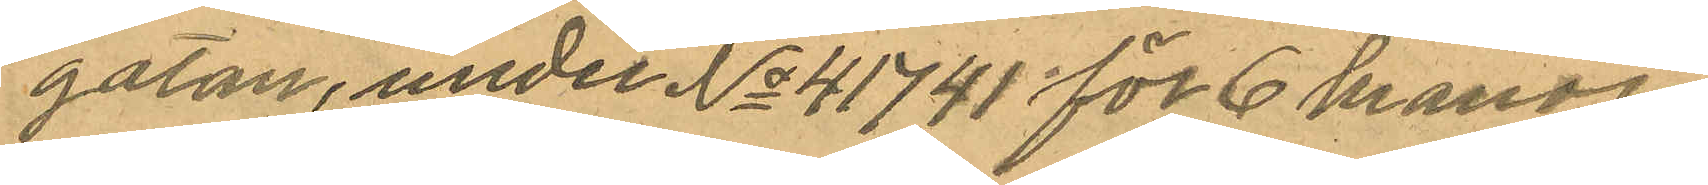gatan, under No 41741 för 6 kronor
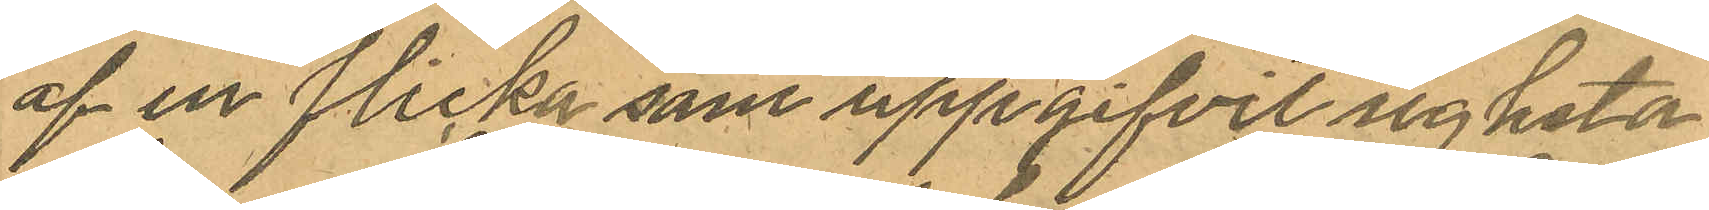af en flicka som uppgifvit sig heta
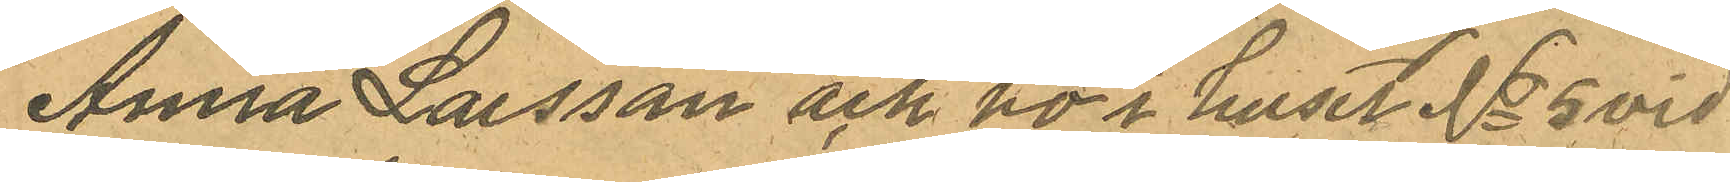Anna Larsson och bo i huset No 5 vid
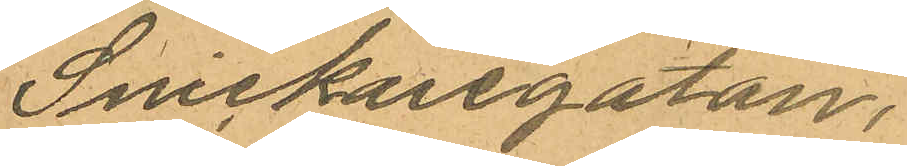Snickaregatan,
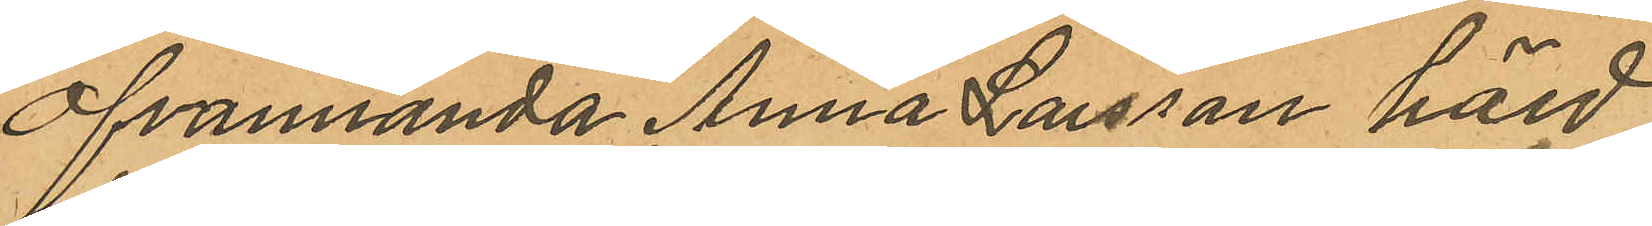ofvannända Anna Larsson hörd
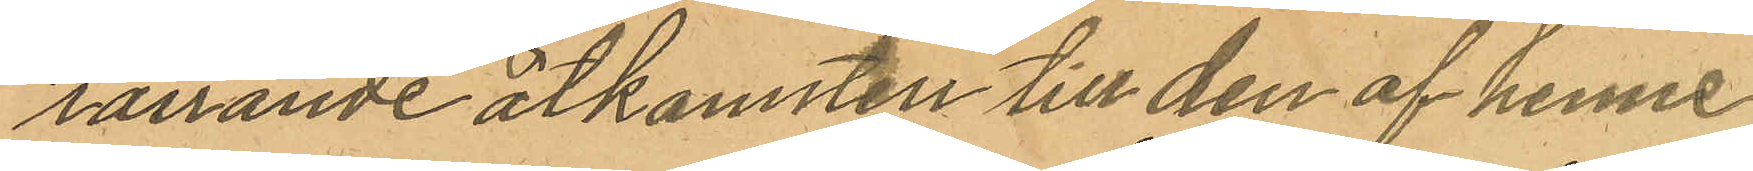rörande åtkomsten till den af henne
